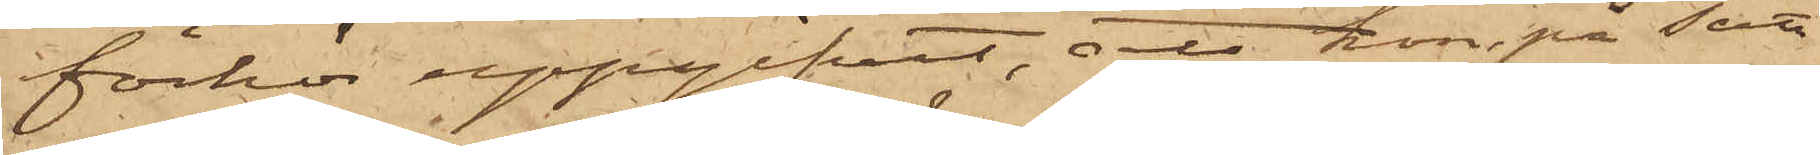förhör uppgifvit, att hon, på sätt
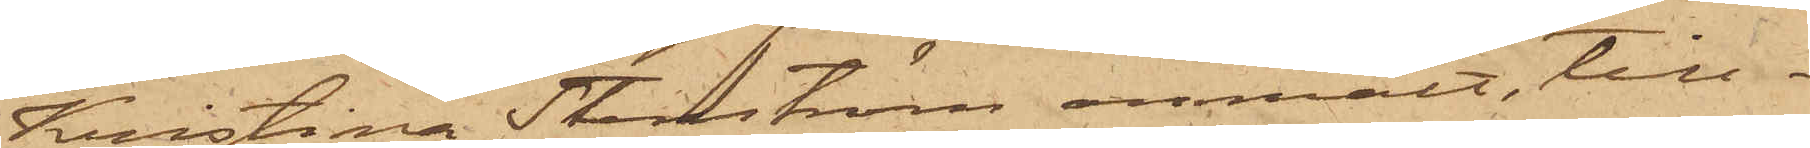Kristina Stenström anmält, till¬
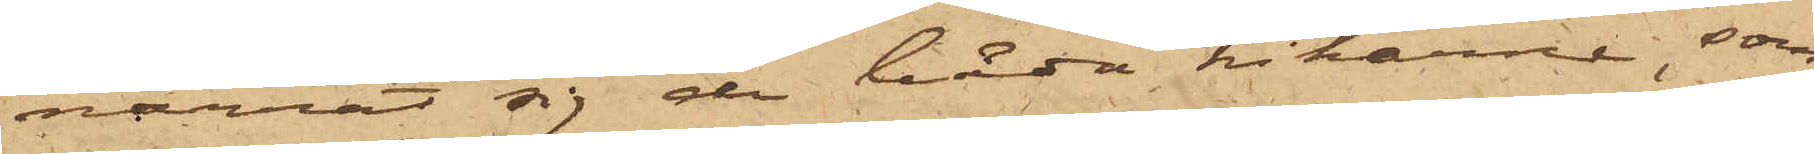narrat sig de båda kikarne, som
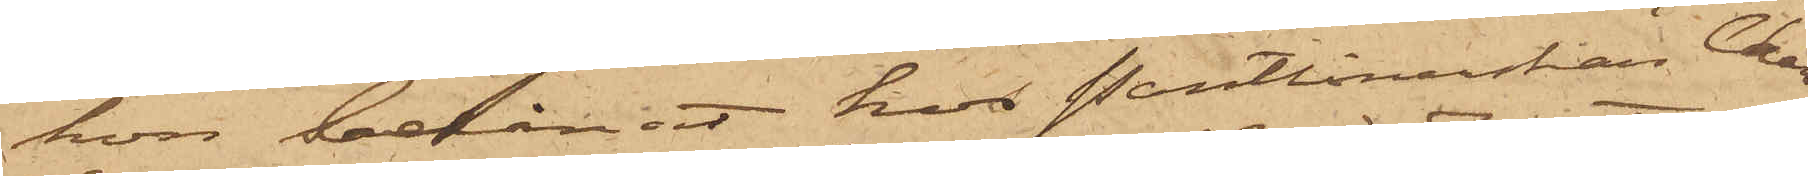hon belånat hos Pantlånerskan Char¬
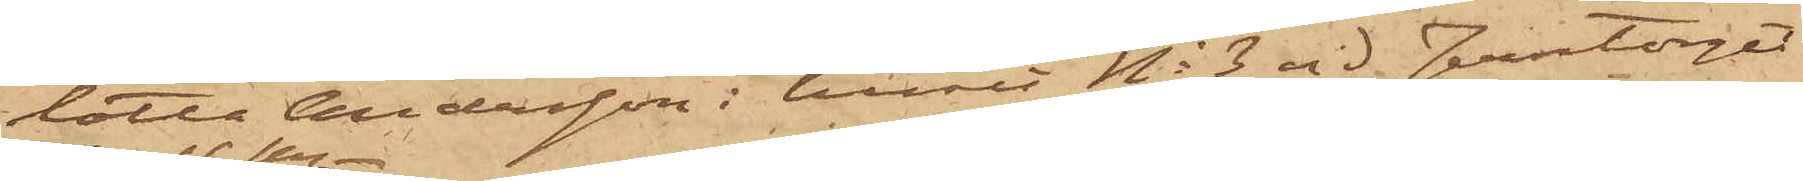lotta Andersson i huset No 3 vid Jerntorget
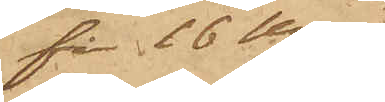för 16 Kr.
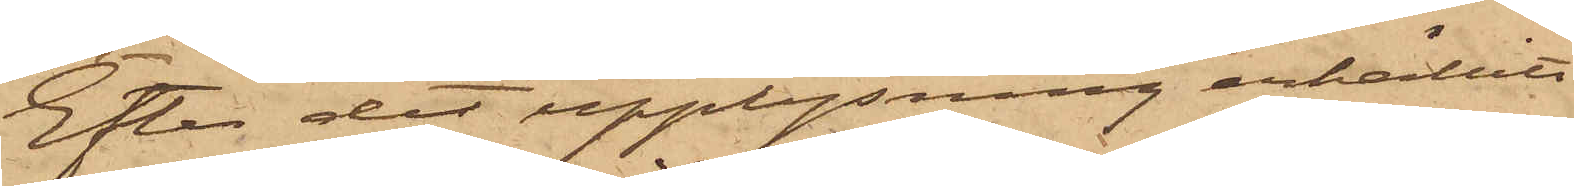Efter det upplysning erhållits
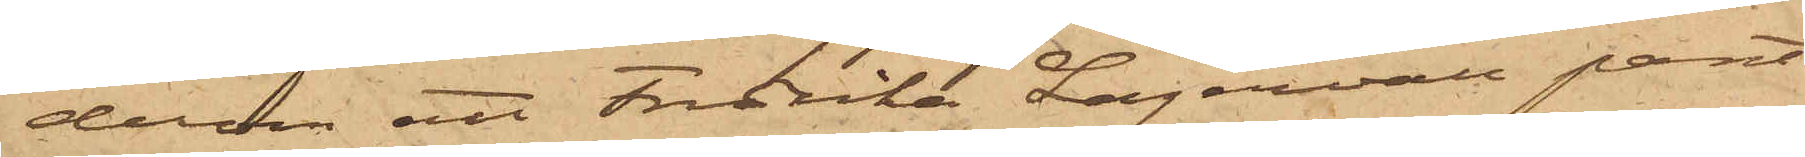derom att Fredrika Lagervall pant¬
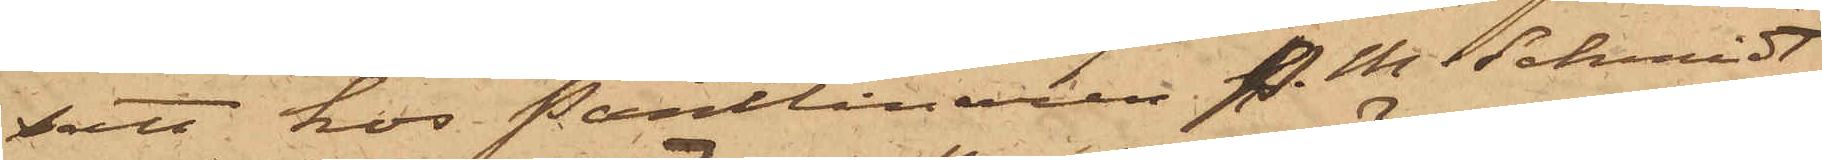satt hos Pantlånaren P. M. Schmidt
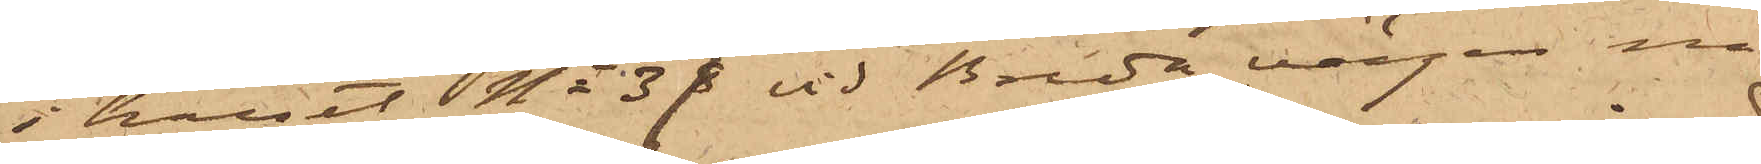i huset No 37 vid Breda vägen nå¬
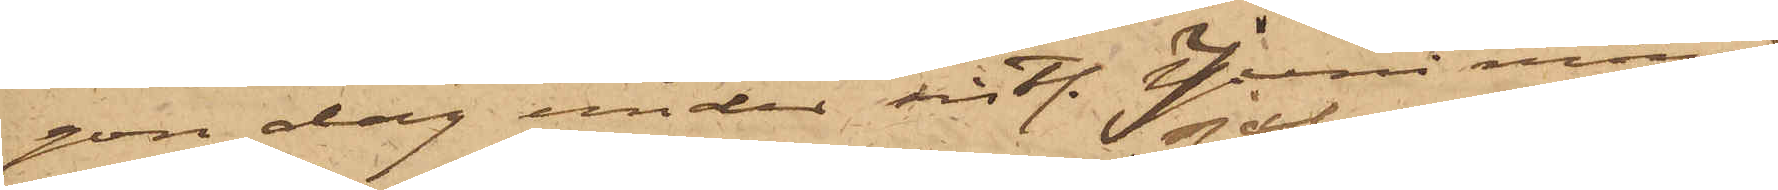gon dag under sistl. Juni månad
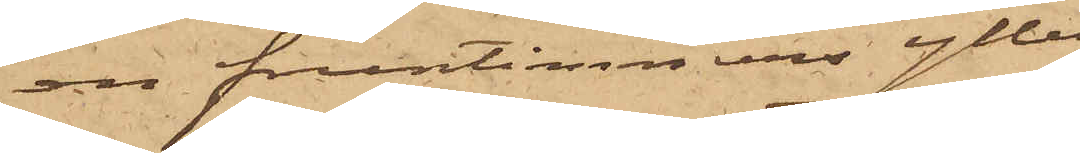en fruntimmersylle¬
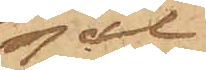sjal
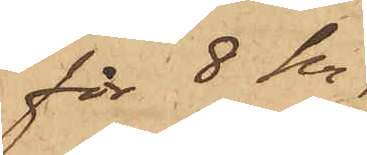för 8 kr,
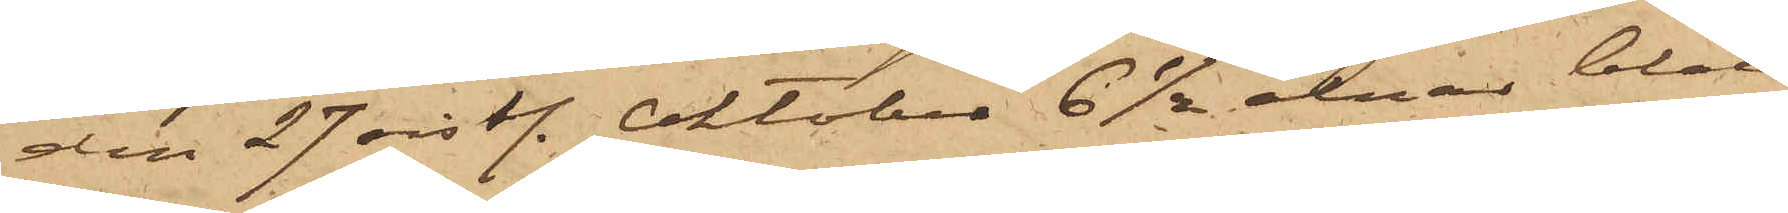den 27 sistl. Oktober 6 1/2 alnar blått
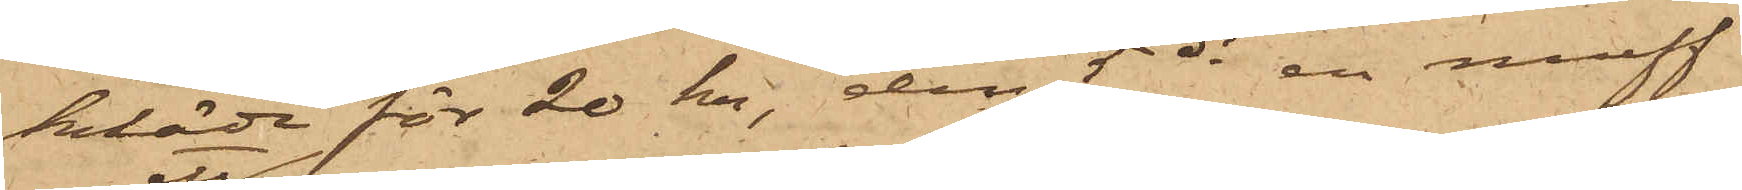kläde för 20 kr, den 5 ds en muff
